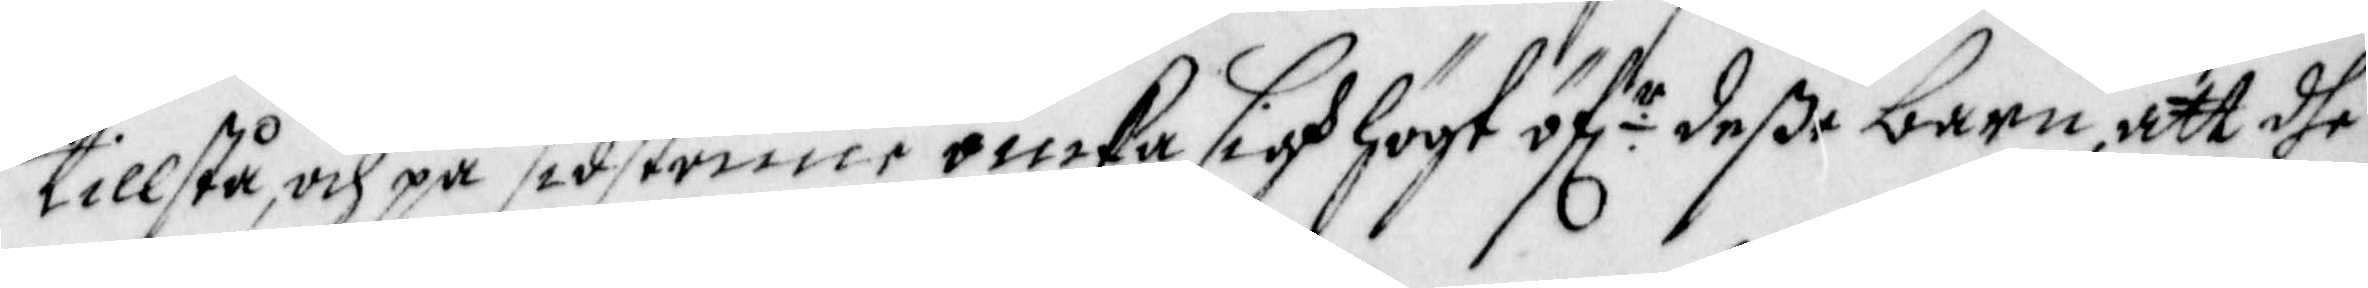tillstå, och på sidstonne ömka sigh högt öf r deße barn, att dhe
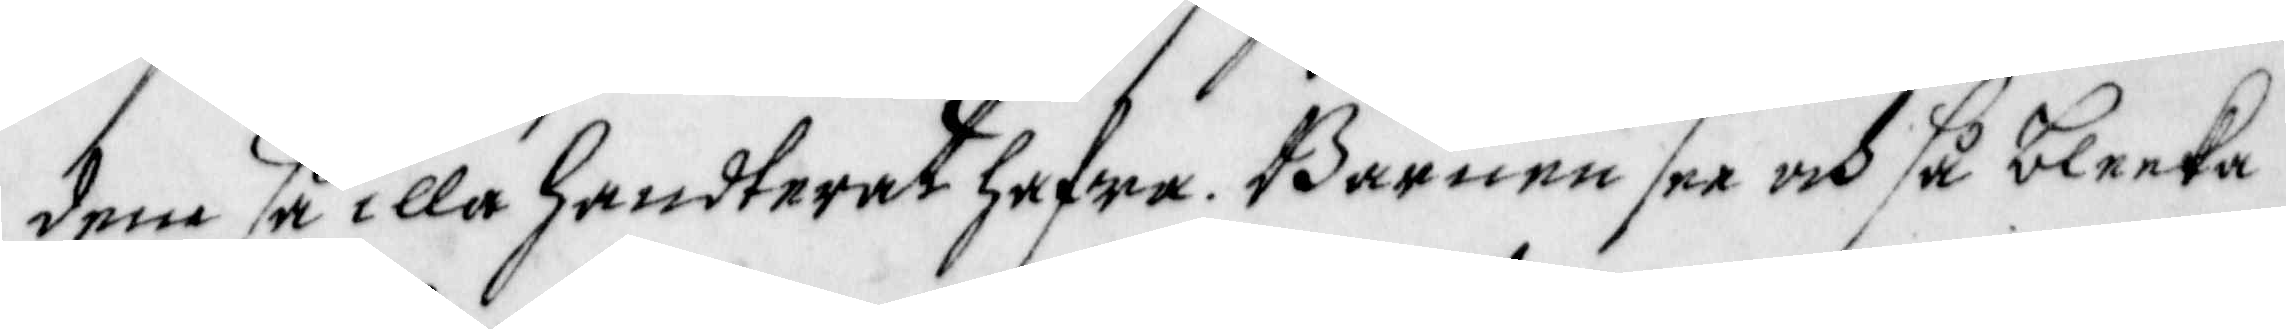dem så illa handterat hafwa. Barnen see och så bleeka 
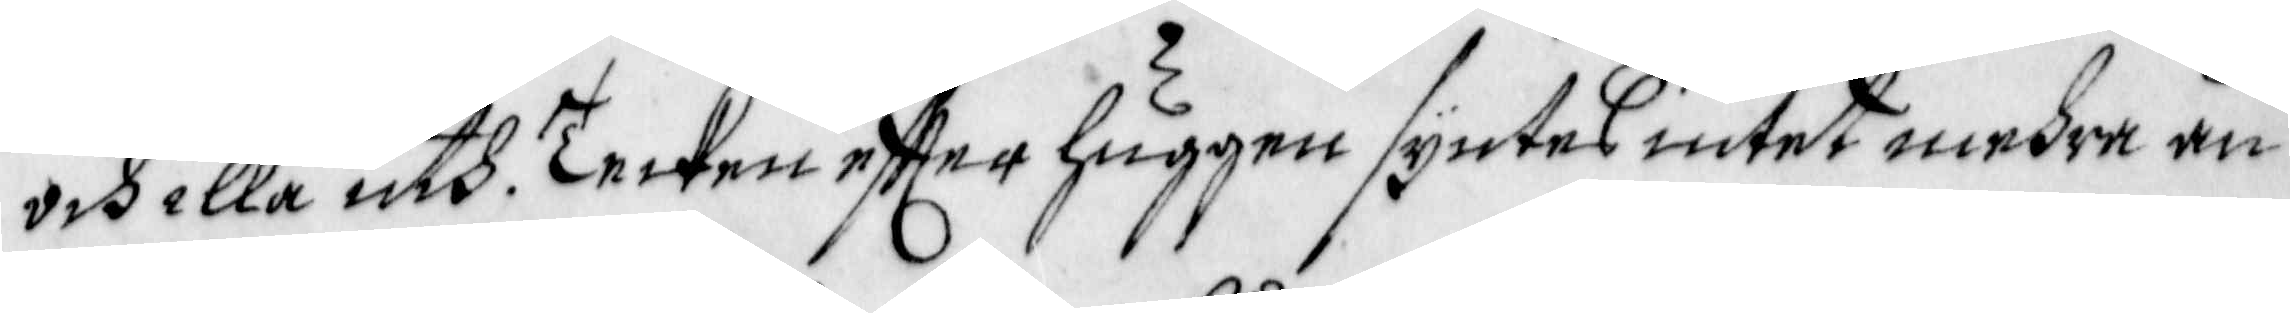och illa uth. Tecken effter huggen syntes intet mehra än
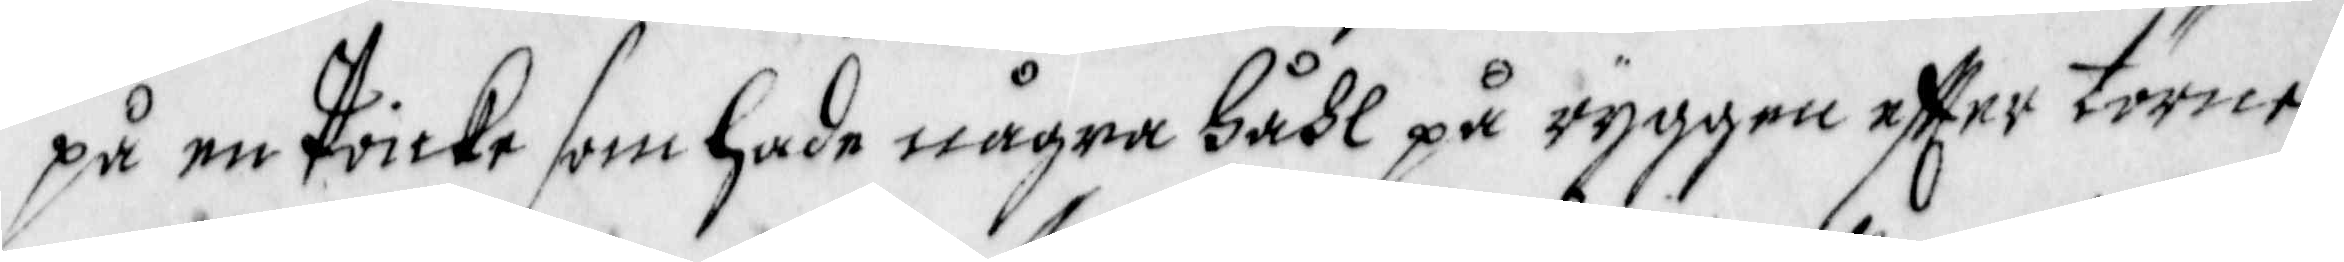på en Poicke som hade några Hådl på ryggen effter törne—
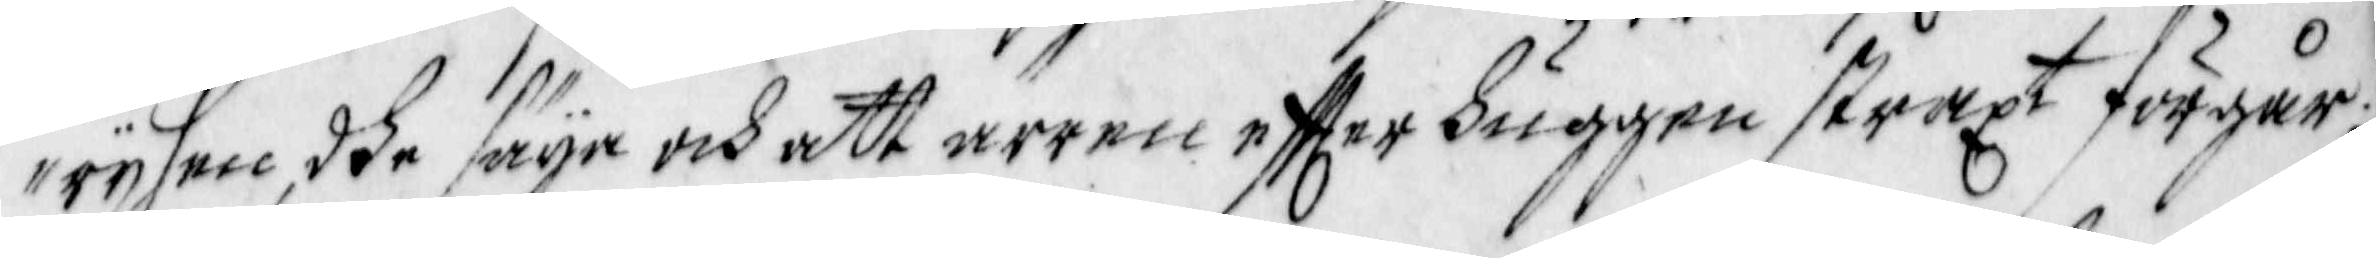rysen, dhe säya och att ärren effter huggen straxt förgår;
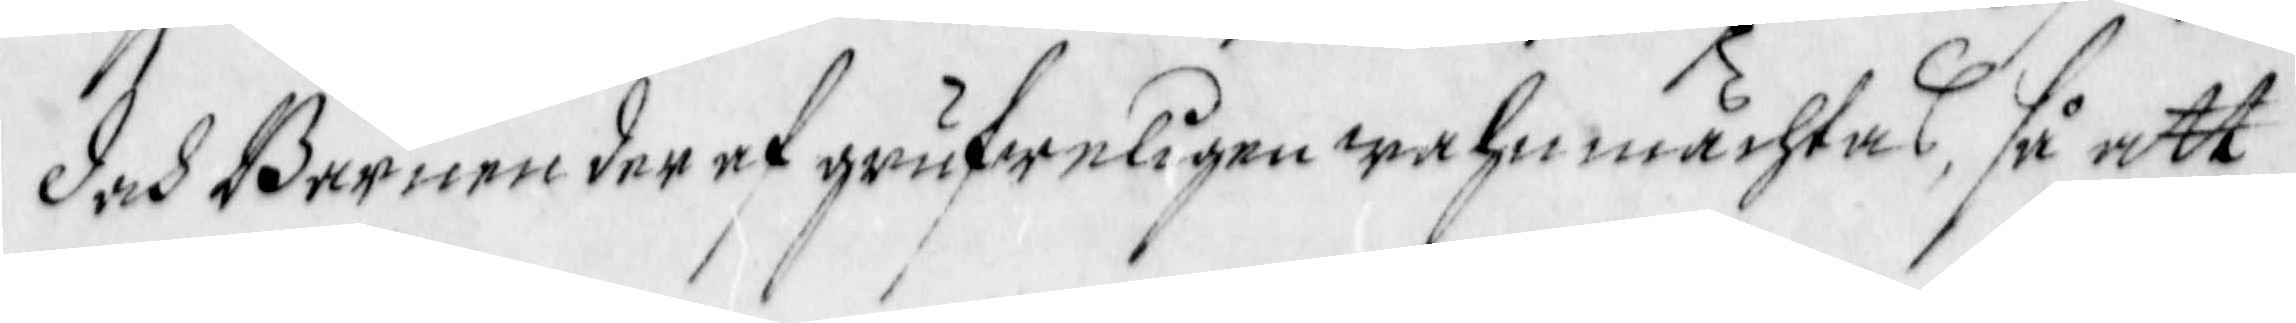Doch Barnen der af grufweligen wahmmächtas, så att
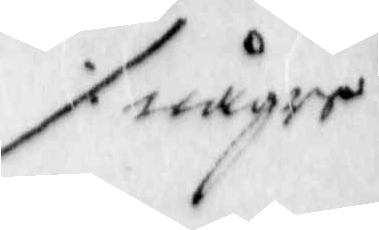 ./. någre
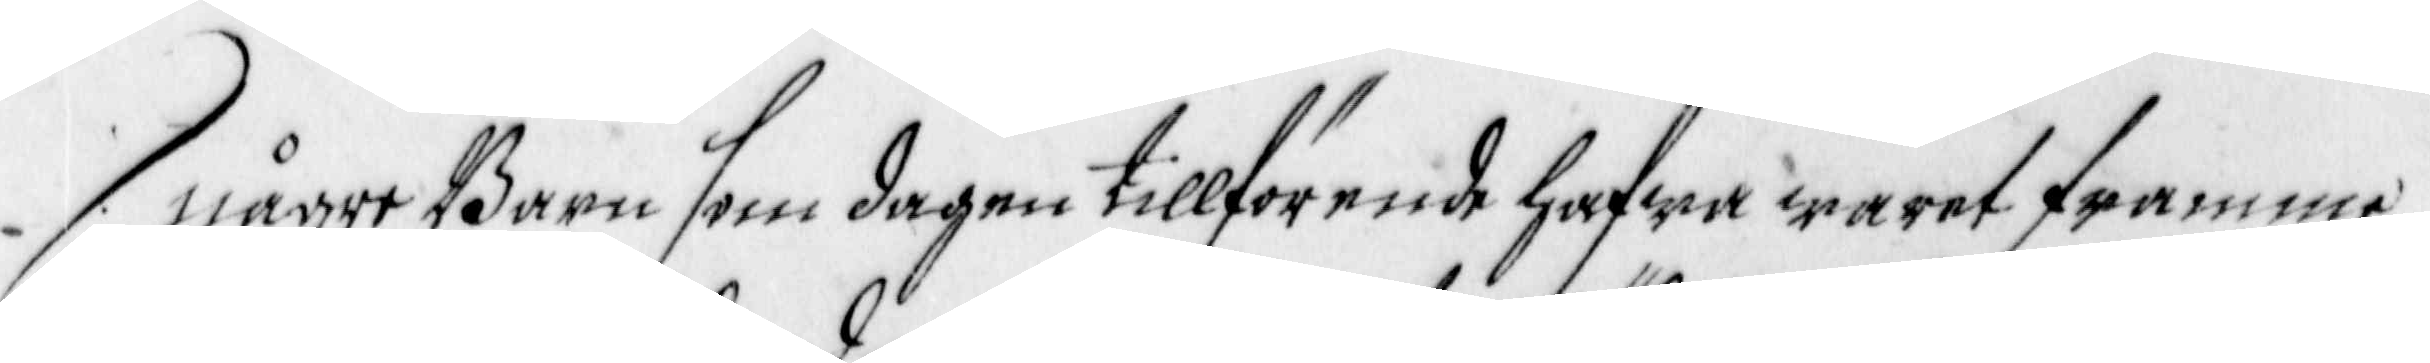någre Barn som dagen tillförende hafwa waret framme
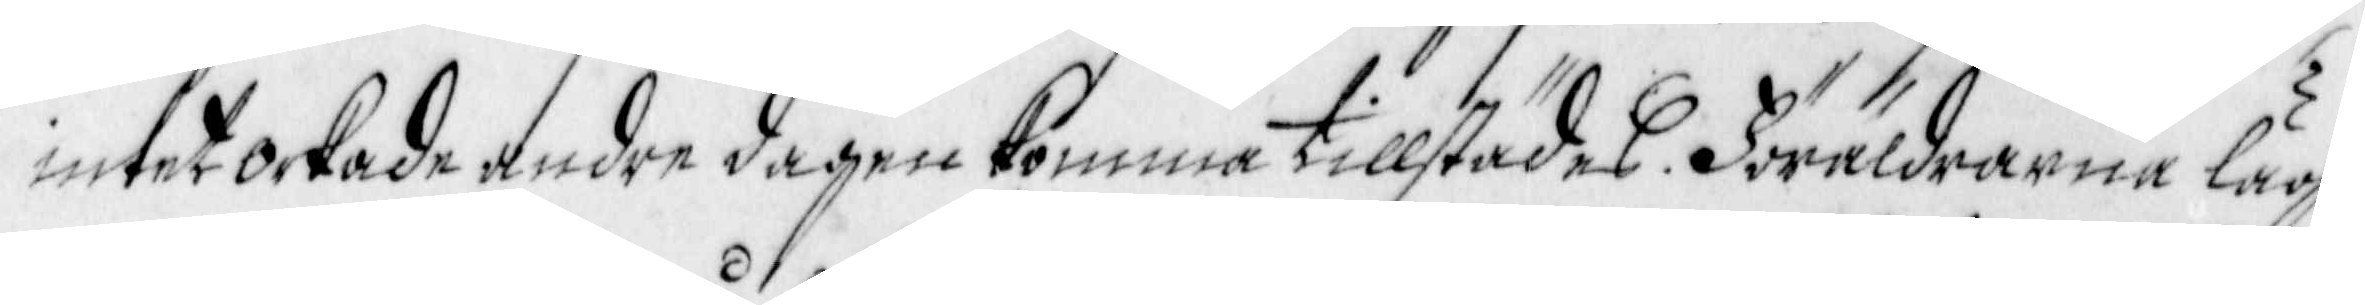intet orkade andre dagen komma tillstädes. Föräldrarna läg—
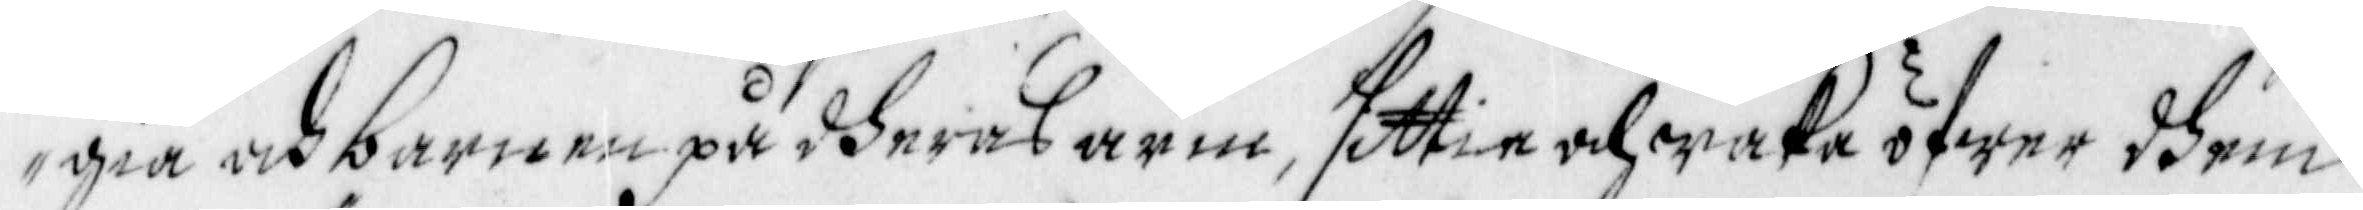gia och barnen på dheras arm, sittia och waka öfwer dhem
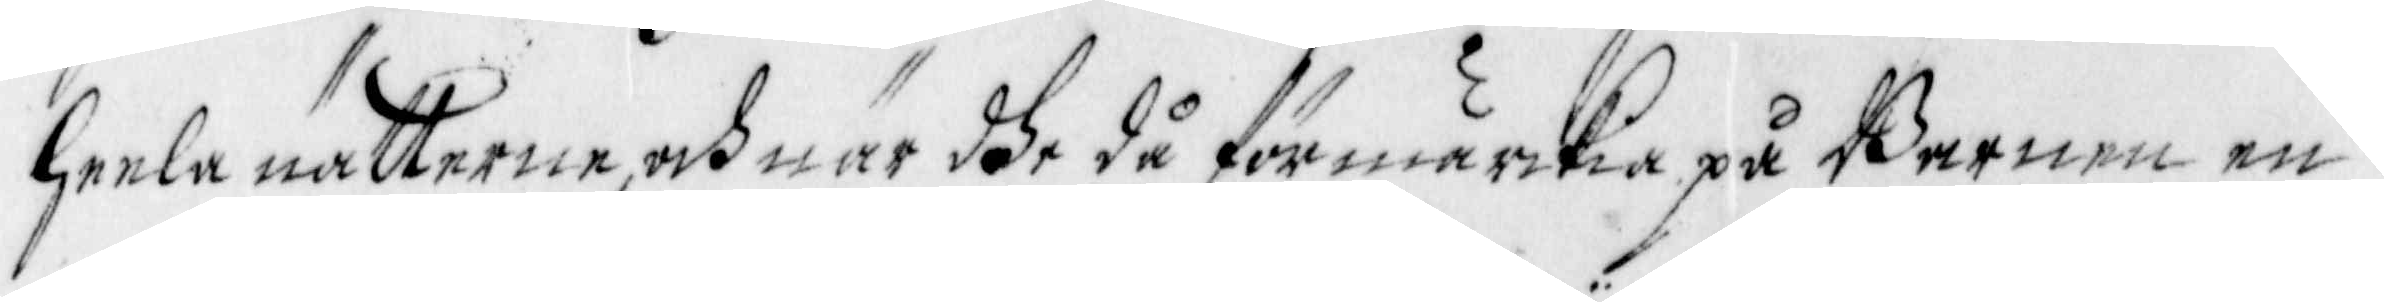heela nätterne, och när dhe då förmärckia på Barnen en
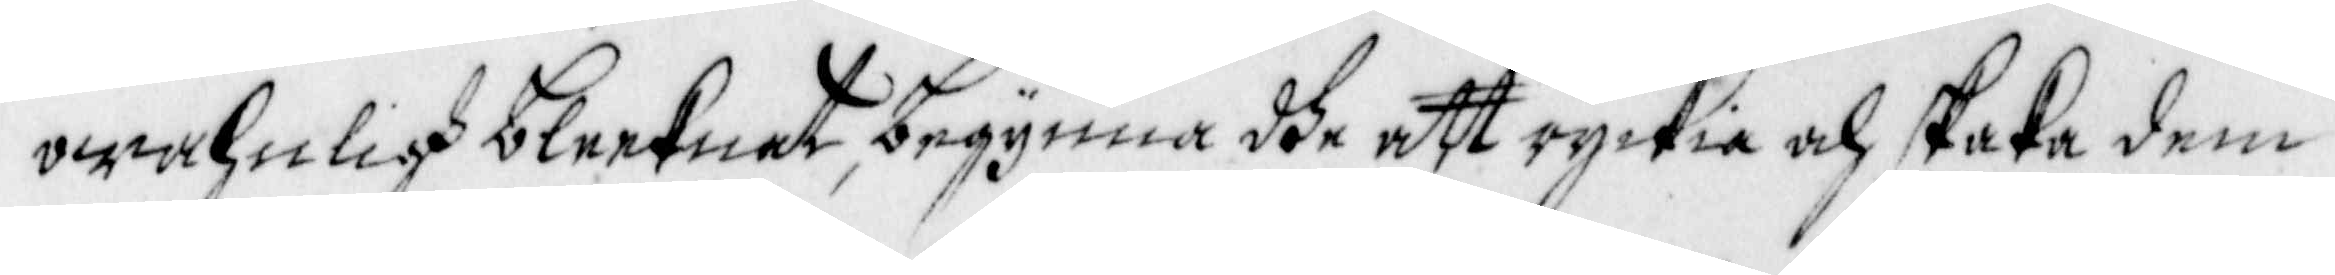owahmligh bleeknat, begynna dhe att ryckia och skaka dem,
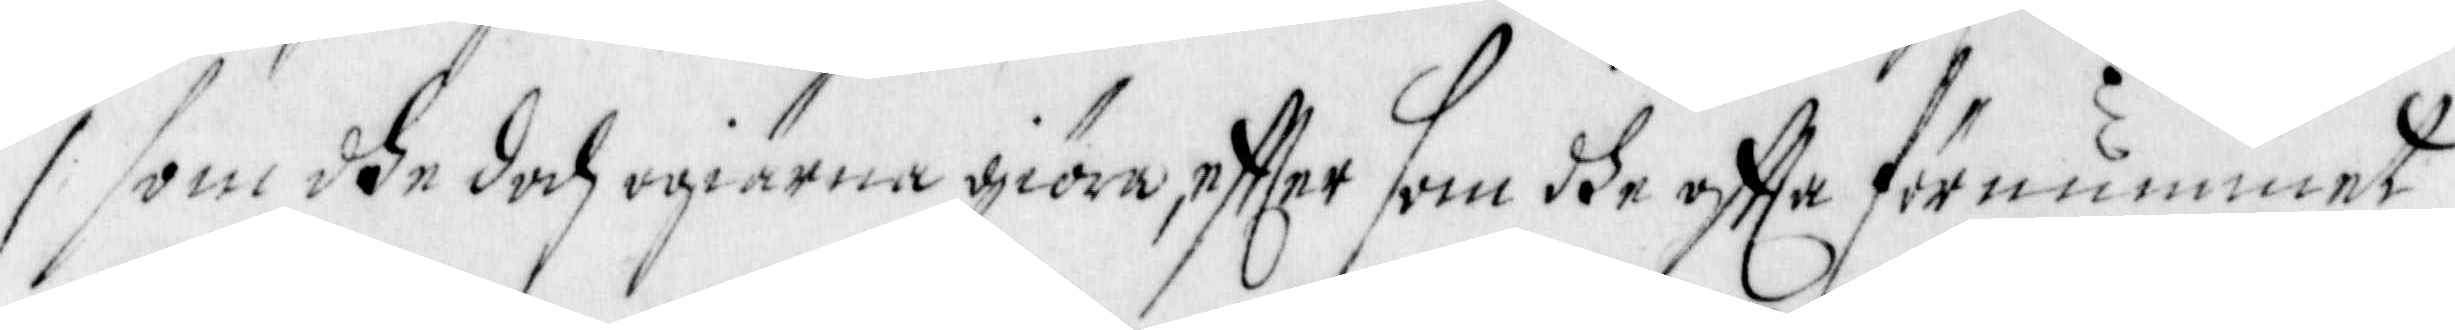som dhe doch ogiärna giöra, effter som dhe offte förnummet
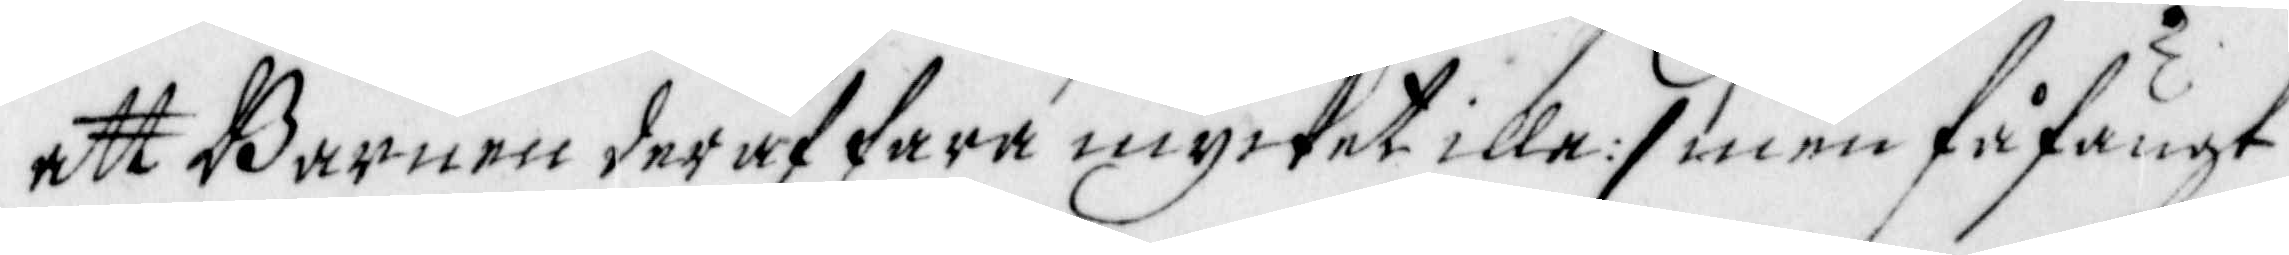att Barnen deraf fara mycket illa:/ men fåfängt
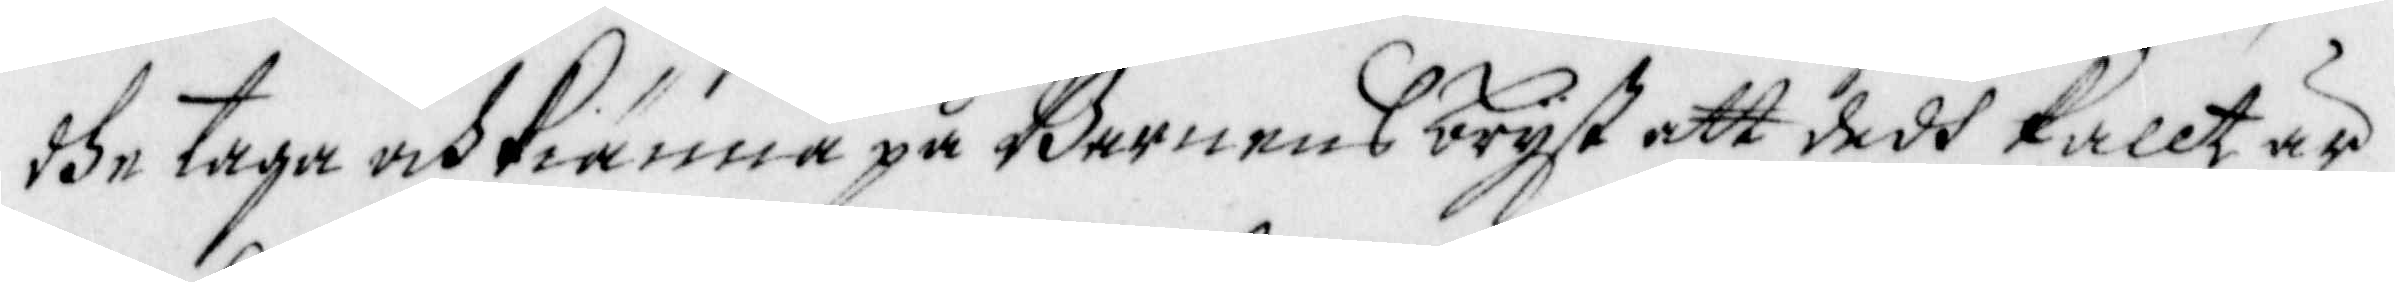dhe taga och kiänna på Barnens bryst att dedh kallt är
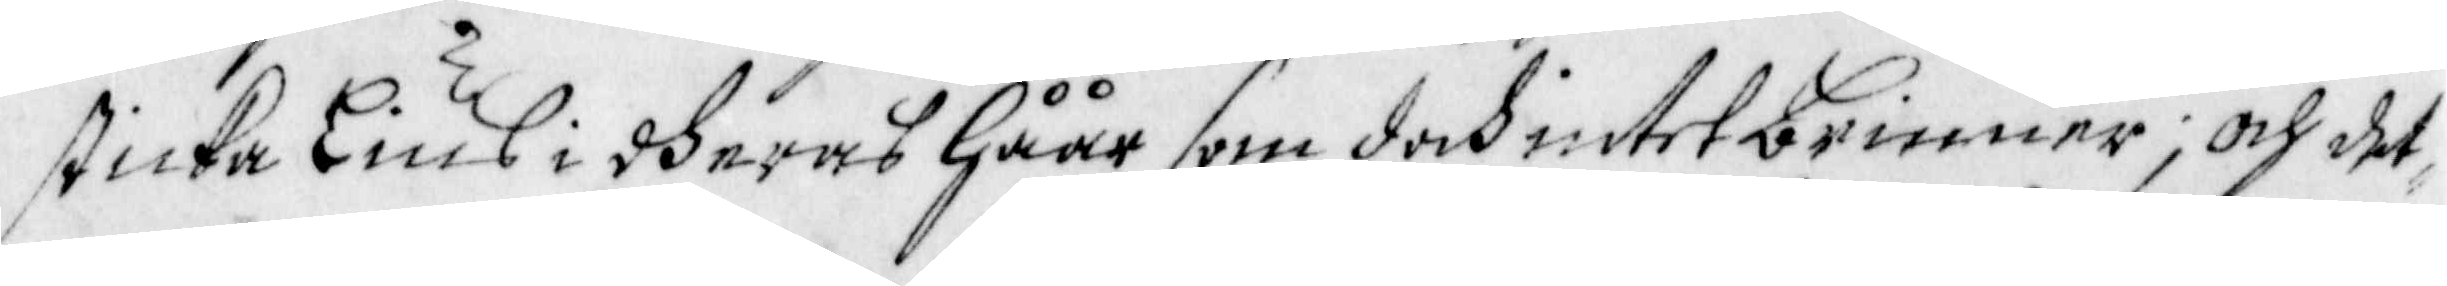sticka Lius i dheras Håår som doch intet brinner; och det¬
